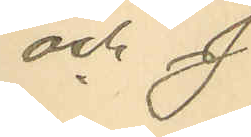och J
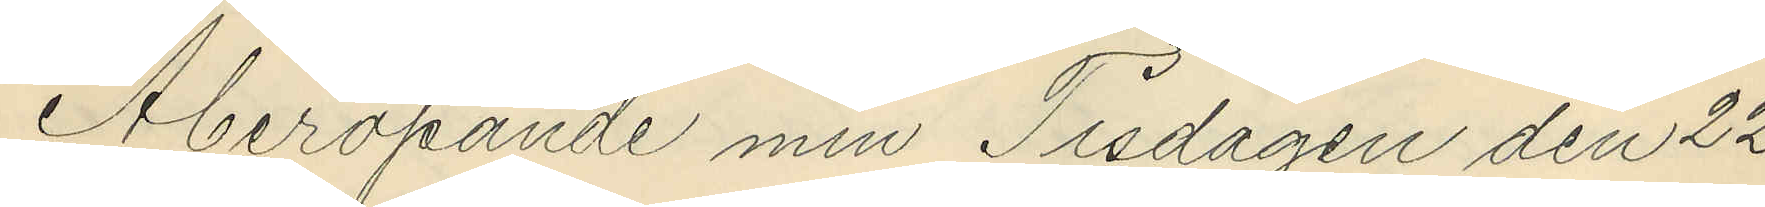Åberopande min Tisdagen den 22
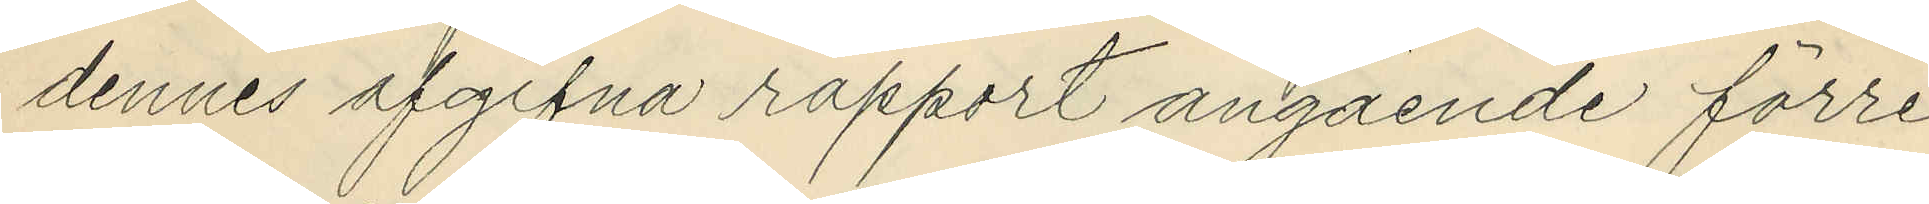dennes afgifna rapport angående förre
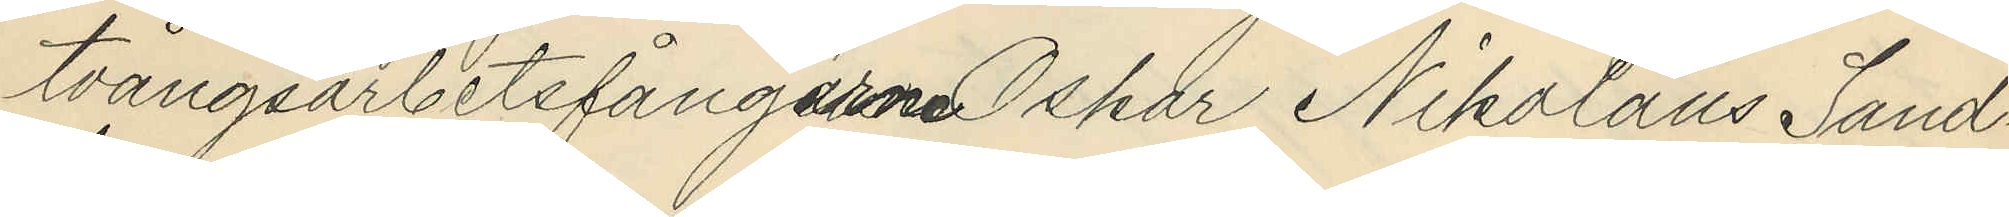tvångsarbetsfångarne Oskar Nikolaus Sand¬
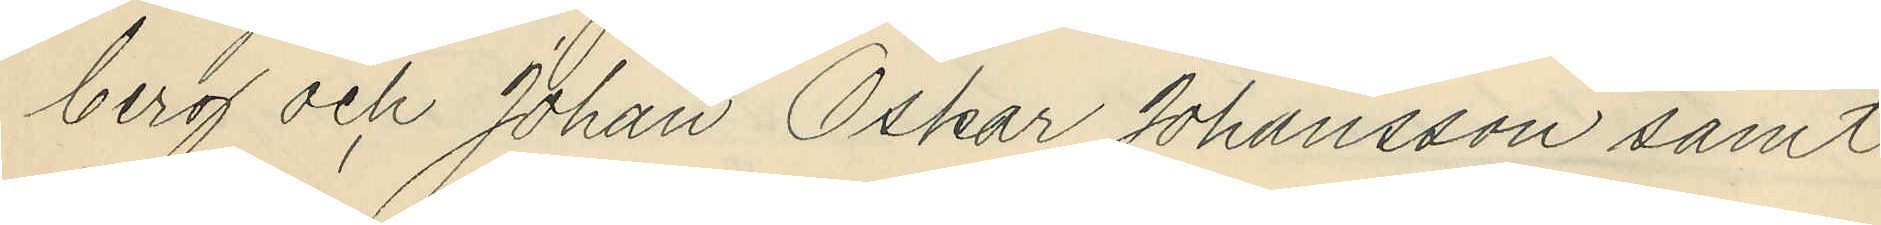berg och Johan Oskar Johansson samt
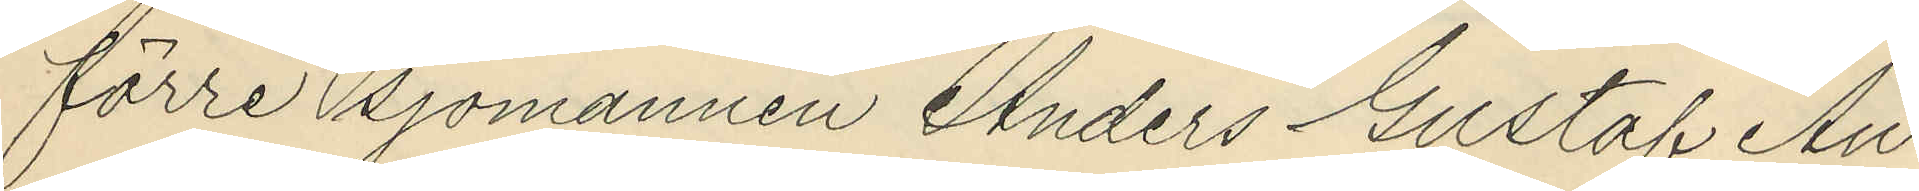förre sjömannen Anders Gustaf An¬
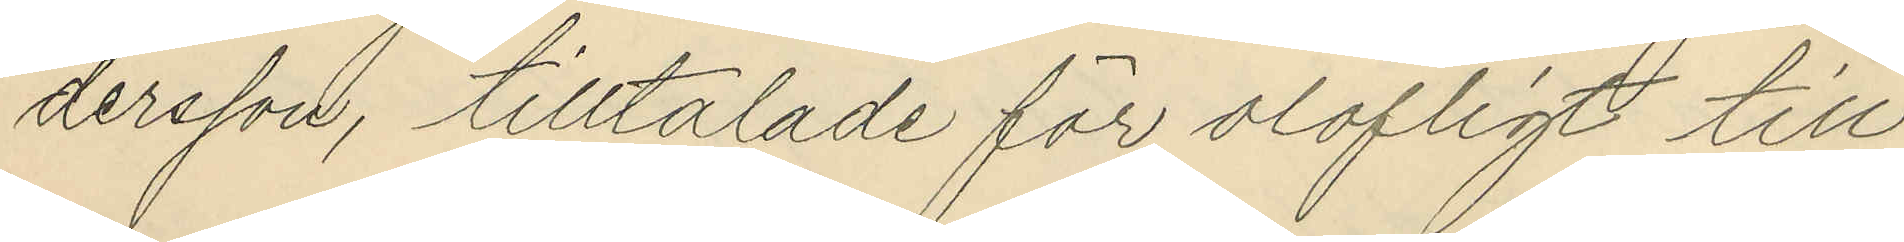dersson, tilltalade för olofligt till¬
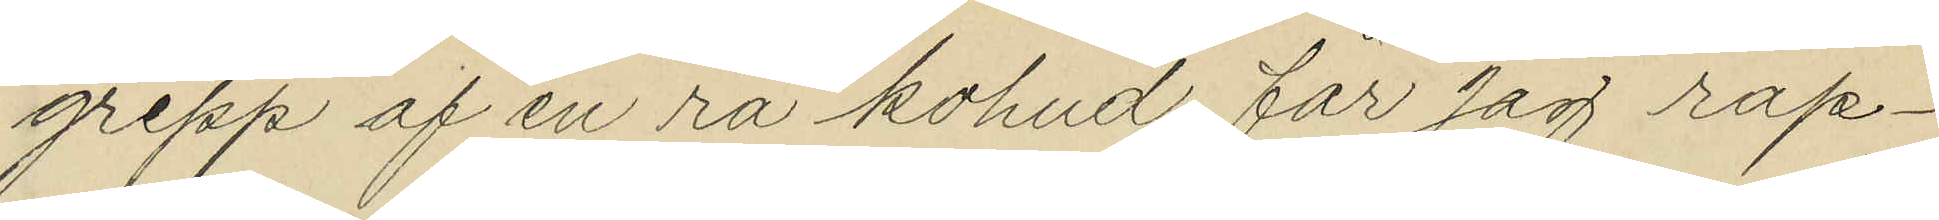grepp af en rå kohud, får jag rap¬
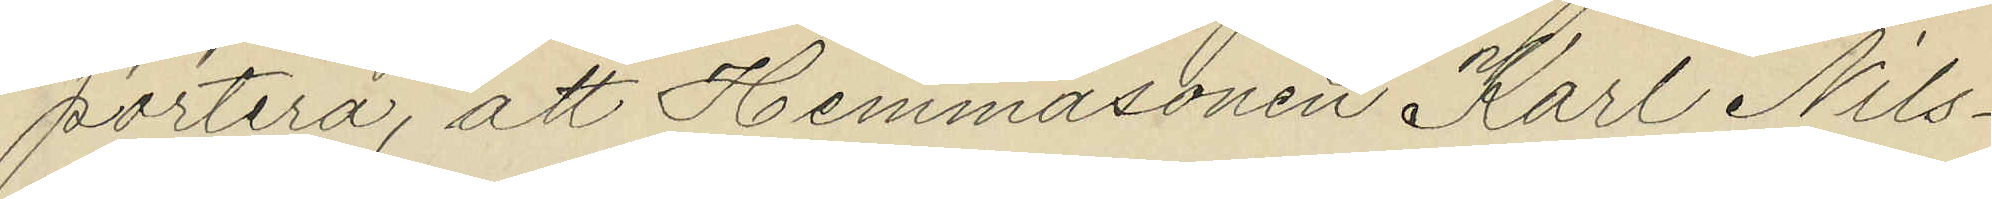portera, att Hemmasonen Karl Nils¬
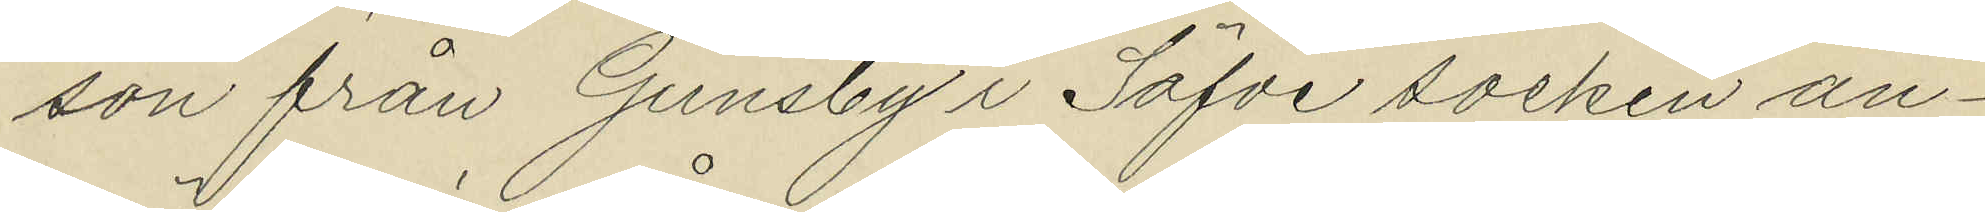son från Gunsby i Säfve socken an¬
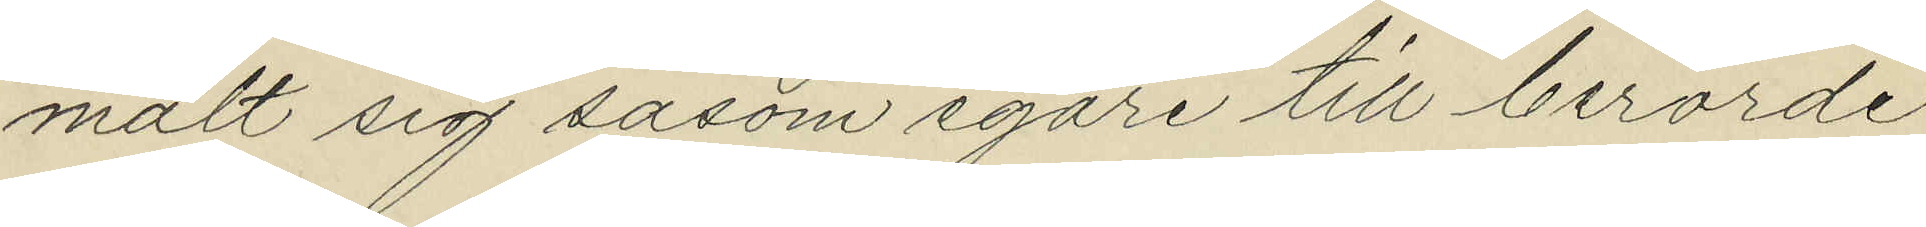mält sig såsom egare till berörde
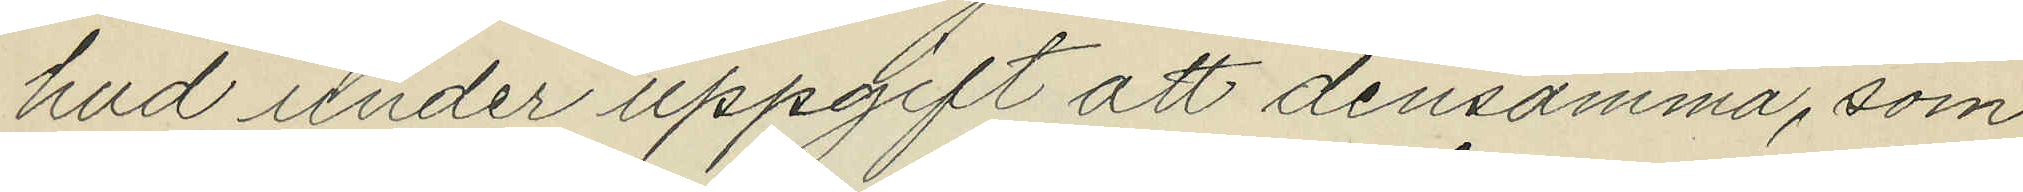hud under uppgift att densamma, som
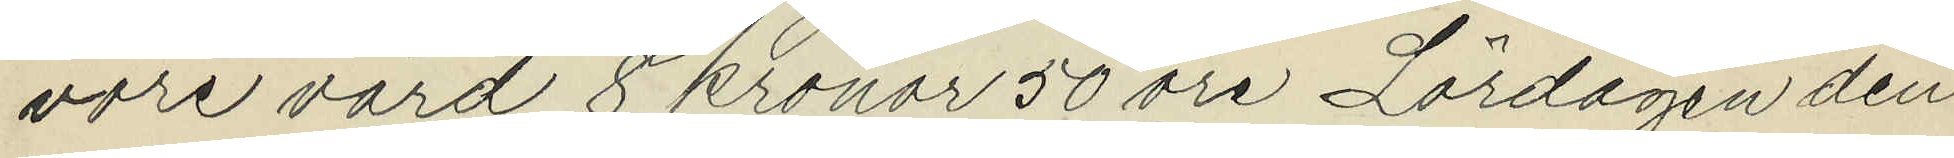vore värd 8 kronor 50 öre Lördagen den
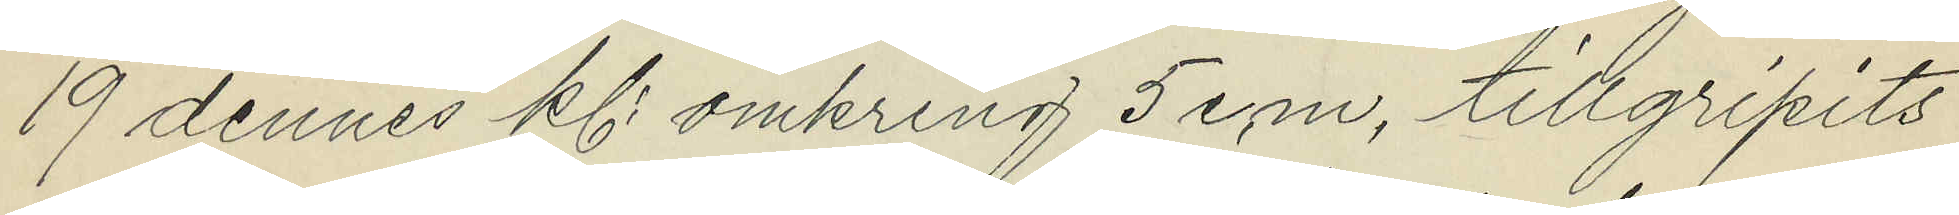19 dennes kl. omkring 5 e.m. tillgripits
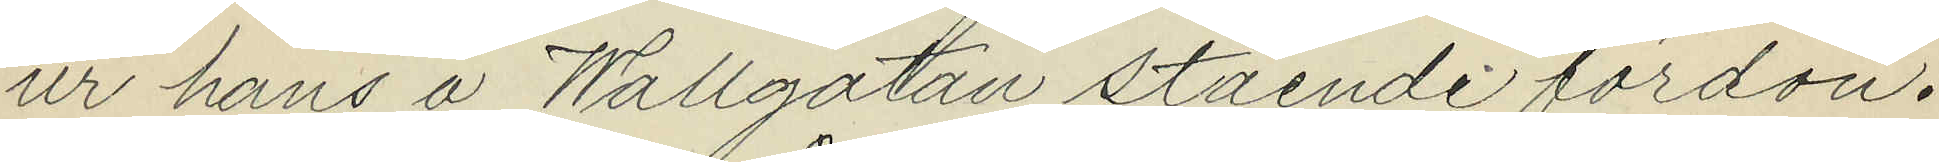ur hans å Wallgatan stående fordon.
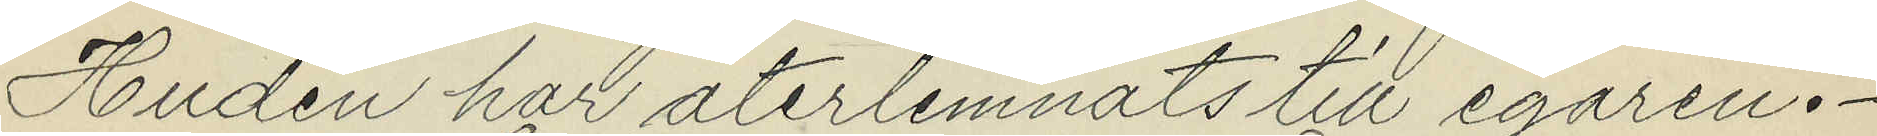Huden har återlemnats till egaren.
